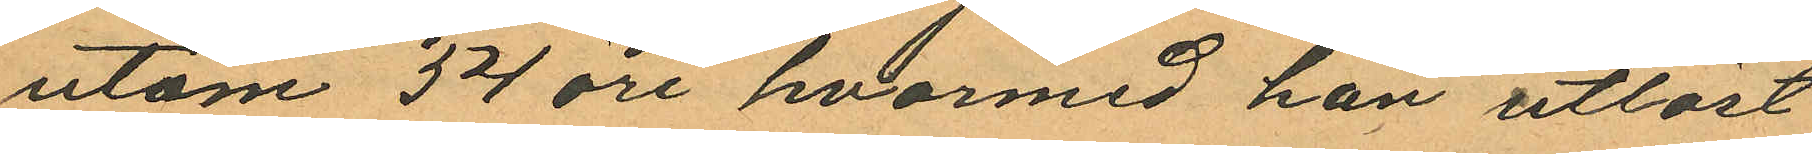utom 54 öre, hvarmed han utlöst
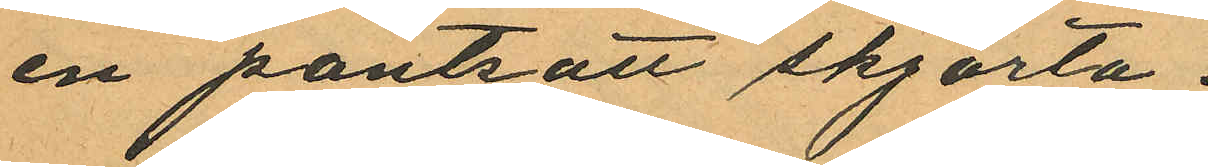en pantsatt skjorta.
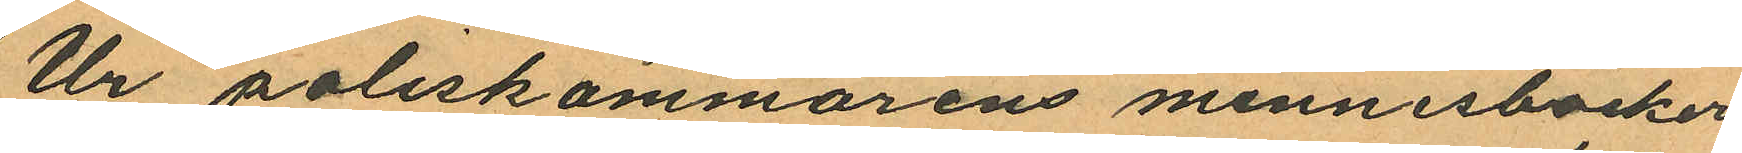Ur poliskammarens minnesböcker
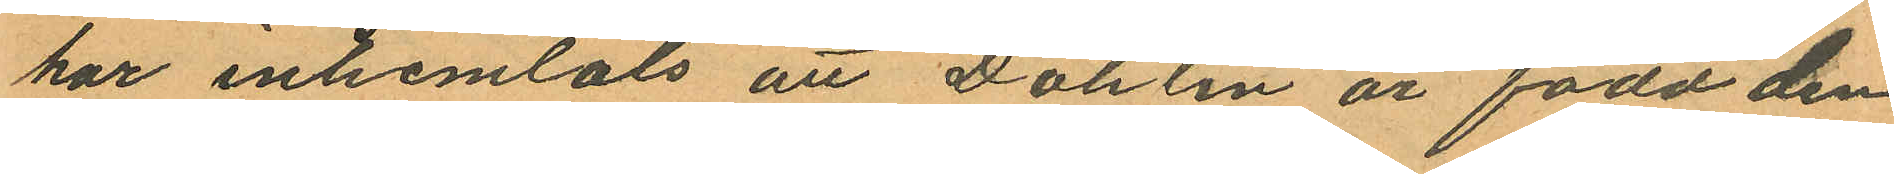har inhemtats att Dahlin är född den
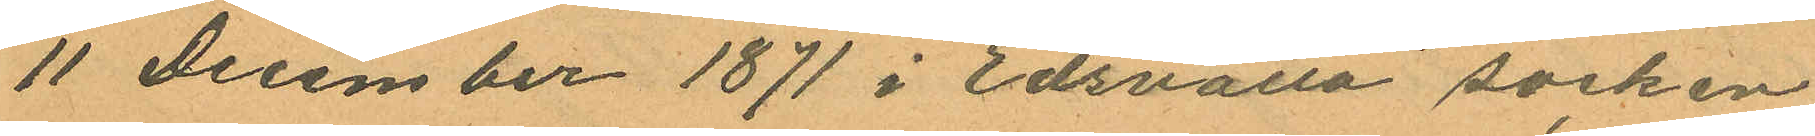11 december 1871 i Edsvalla socken
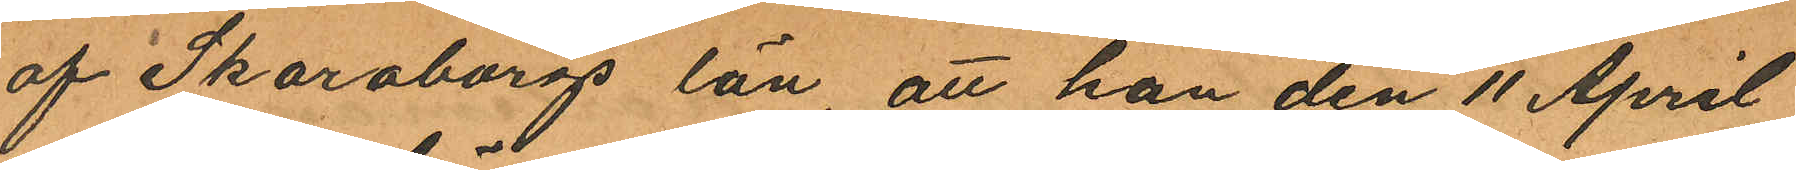af Skaraborgs län, att han den 11 April
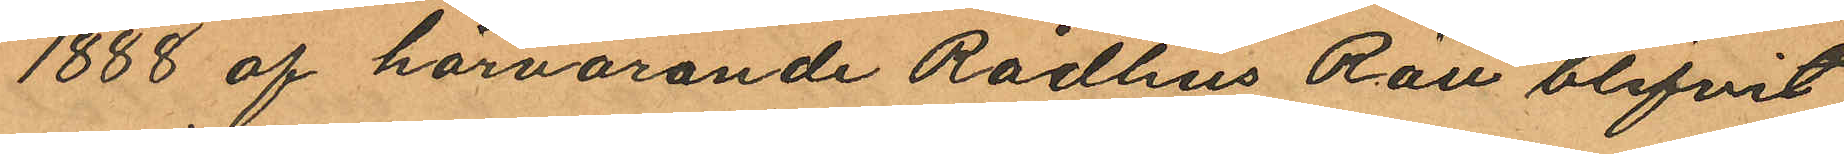1888 af härvarande Rådhus Rätt blifvit
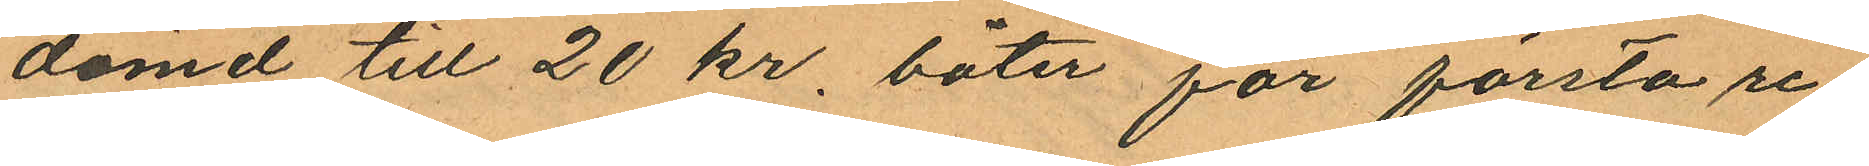dömd till 20 kr. böter för första re¬
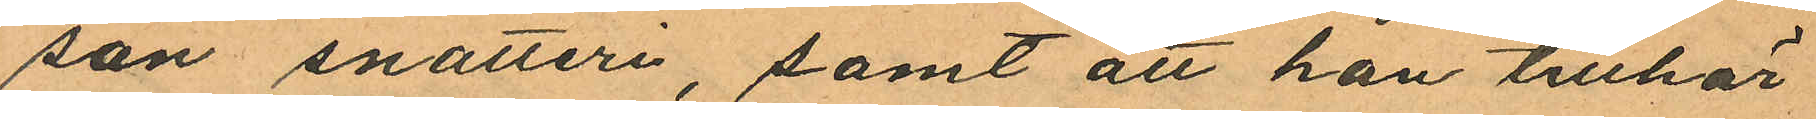san snatteri, samt att han tillhör
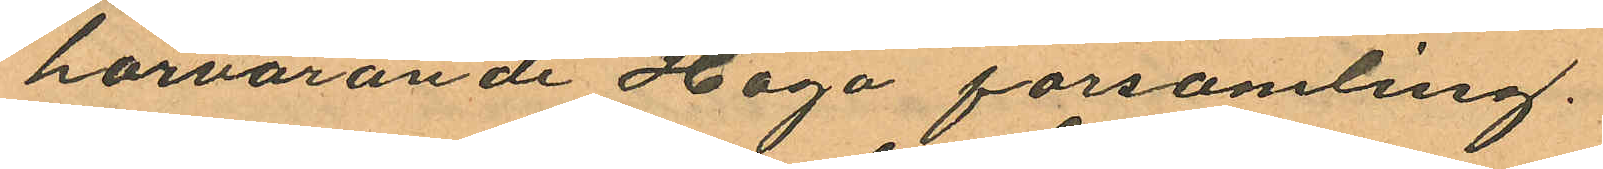härvarande Haga församling.
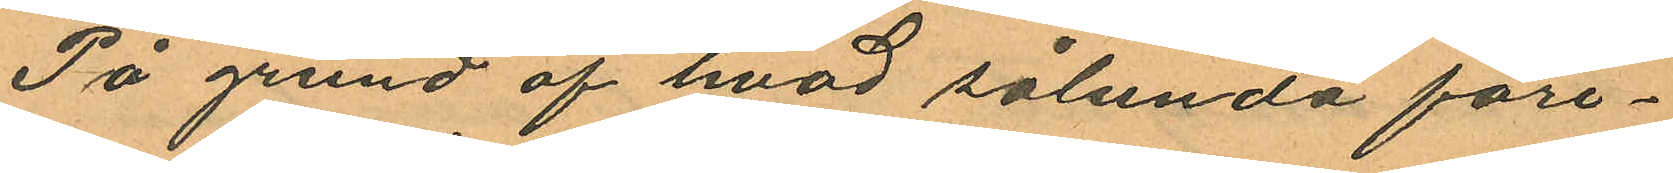På grund af hvad sålunda före¬
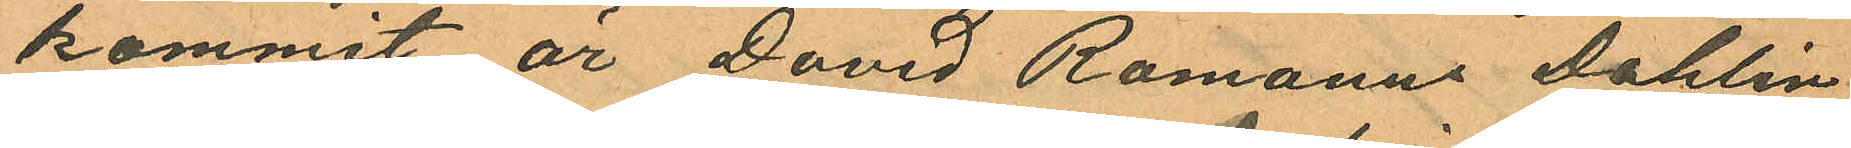kommit är David Romanus Dahlin
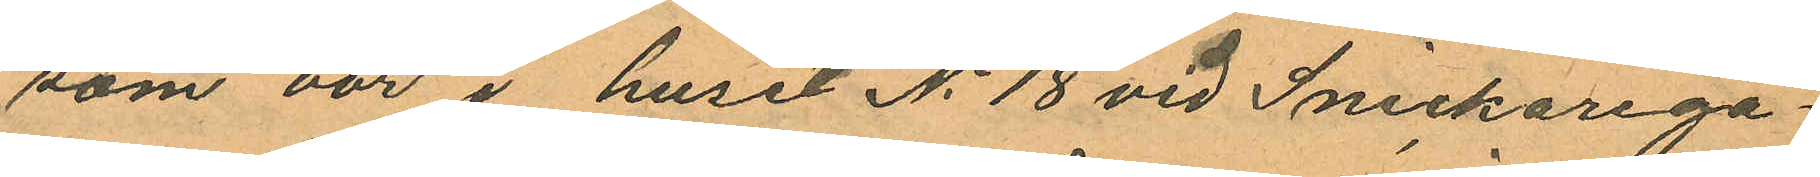som bor i huset No 18 vid Snickarega¬
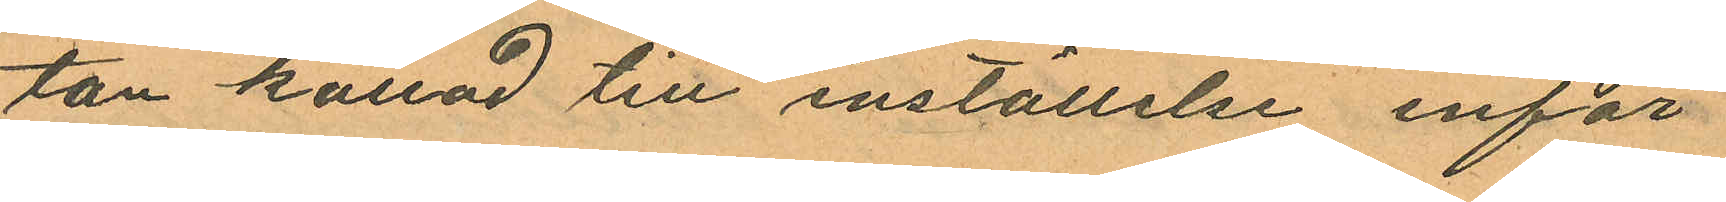tan kallad till inställelse inför
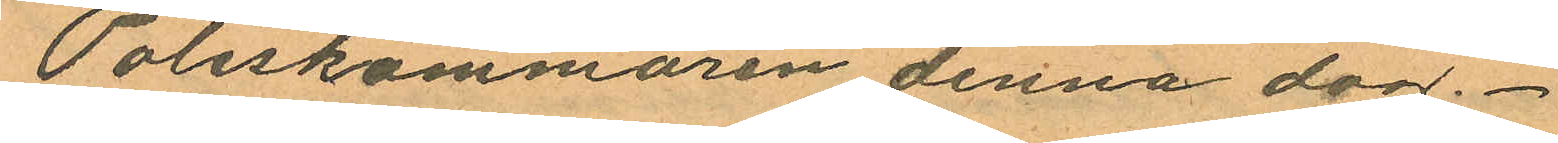Poliskammaren denna dag.
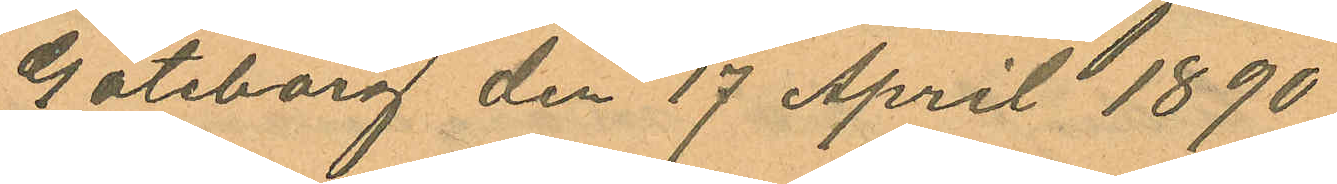Göteborg den 17 April 1890
